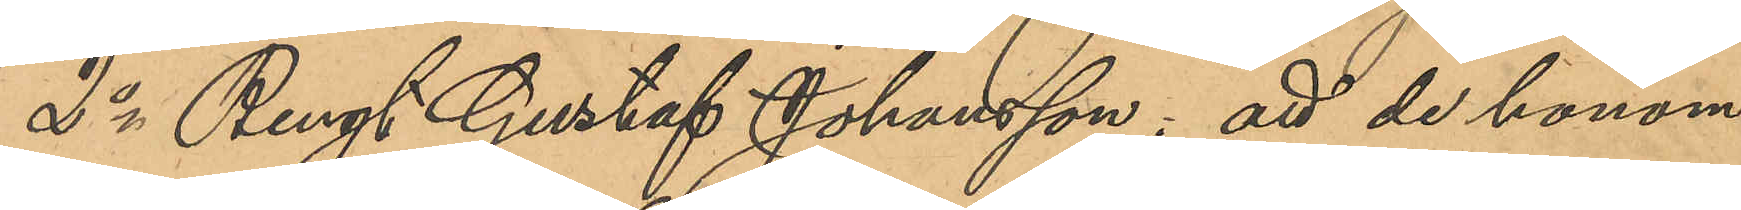2o Bengt Gustaf Johansson: att de honom
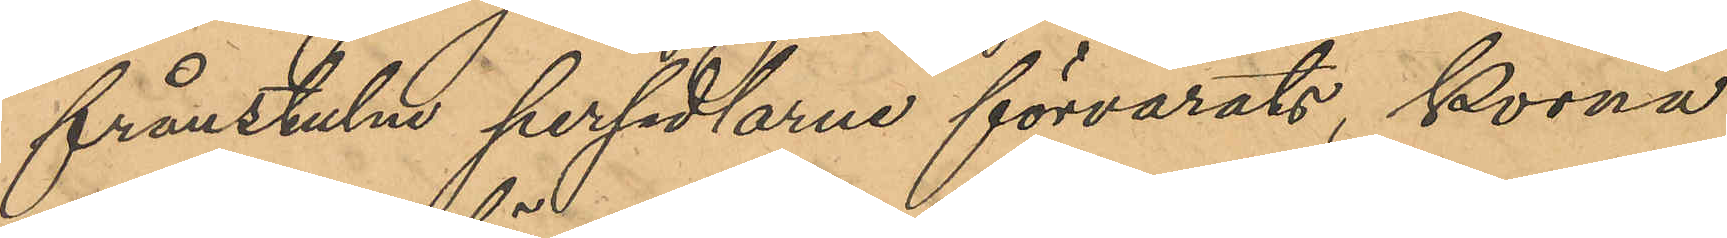frånstulne persedlarne förvarats, skorna
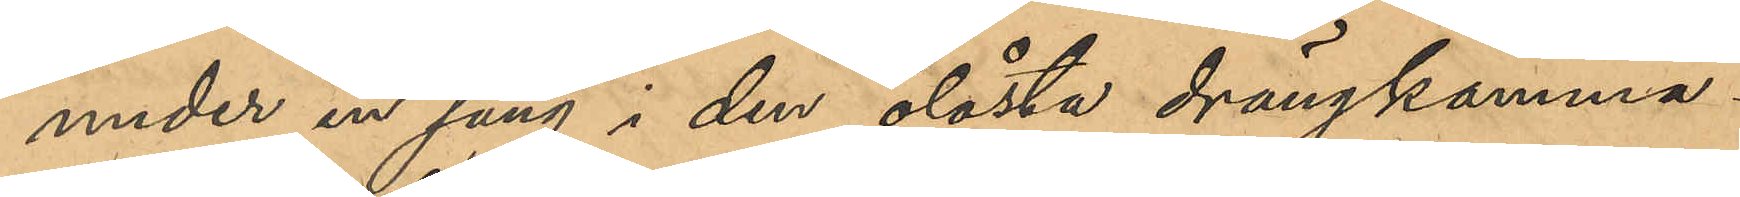under en säng i den olåsta drängkamma¬
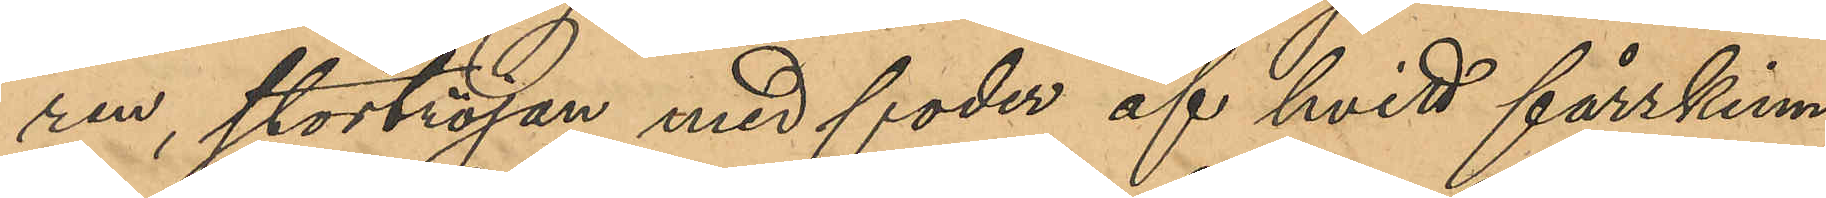ren, stortröjan med foder af hvitt fårskinn
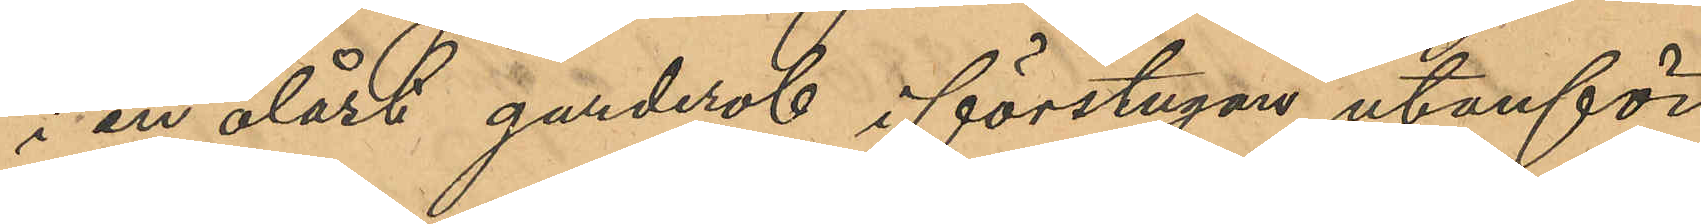i en olåst garderob i förstugan utanför
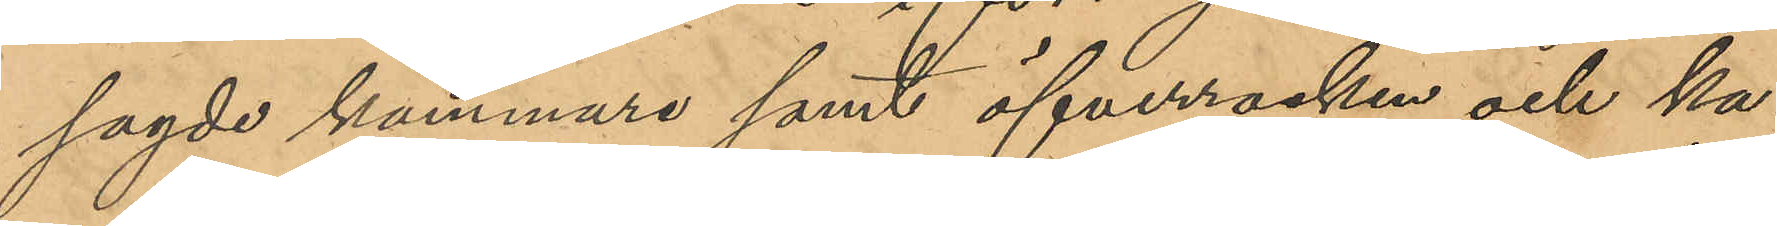sagde kammare samt öfverrocken och ka¬
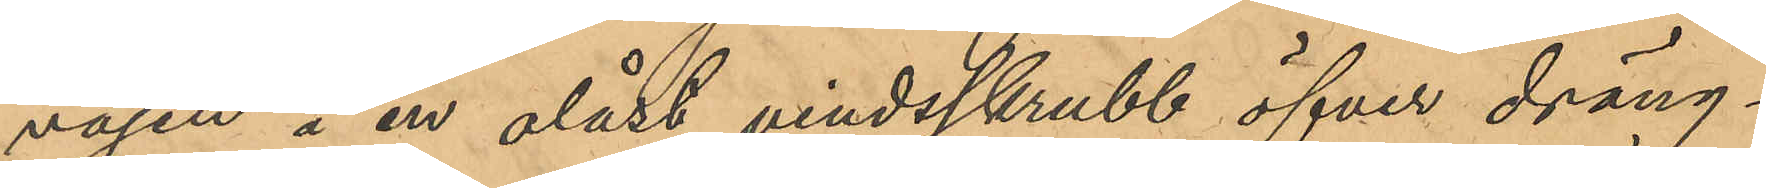vajen å en olåst vindsskrubb öfver dräng¬
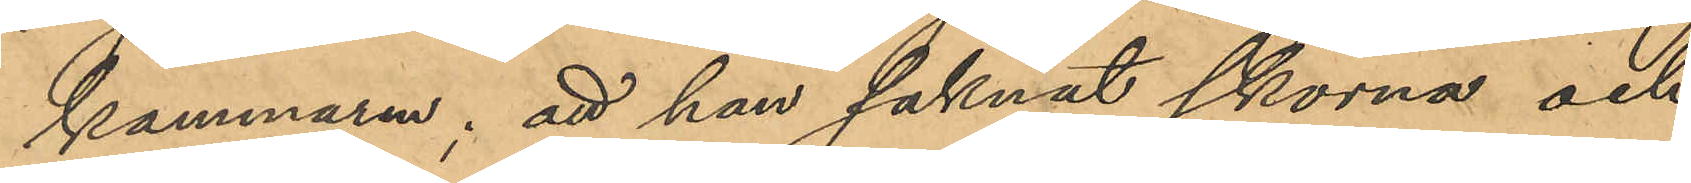kammaren; att han saknat skorna och
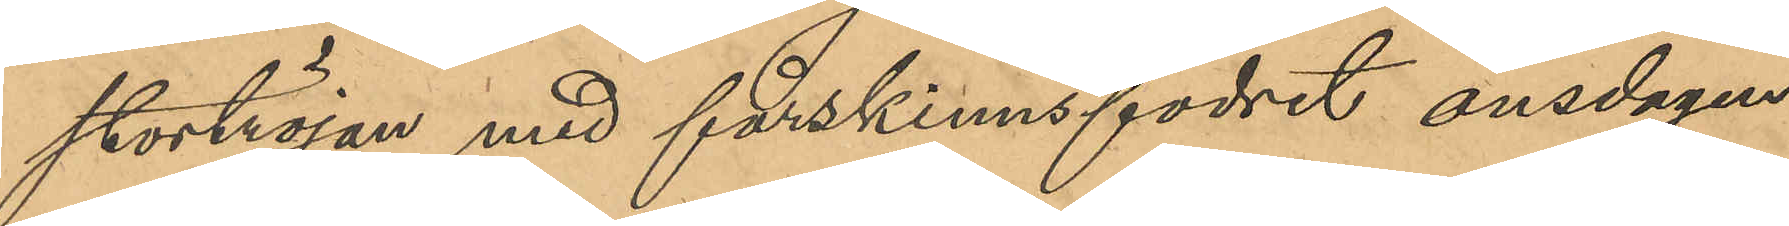stortröjan med fårskinnsfoder onsdagen
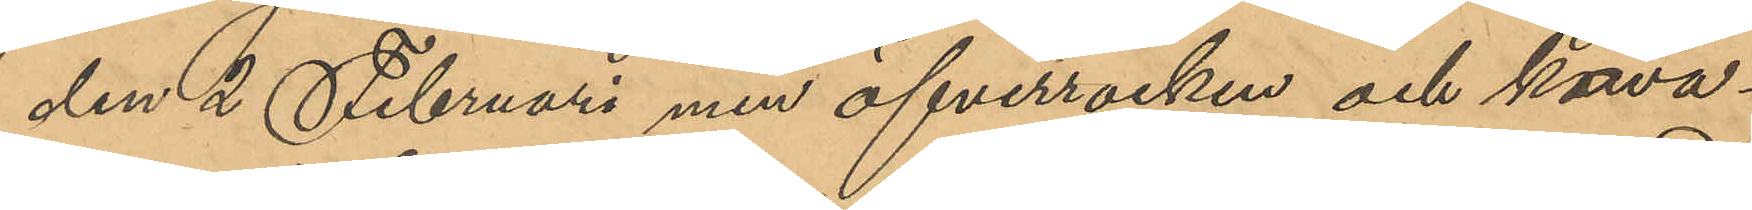den 2 Februari men öfverrocken och kava¬
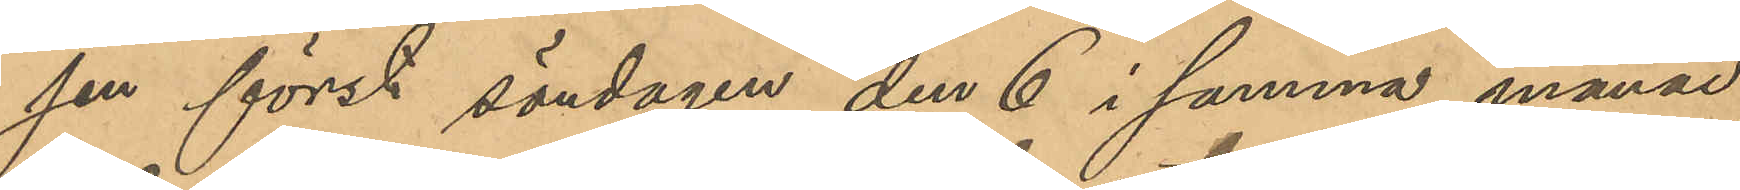jen först söndagen den 6 i samma månad;
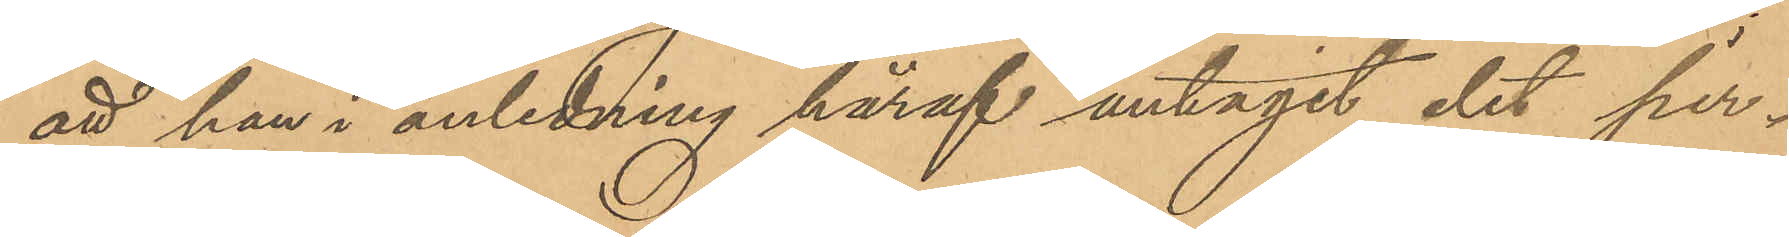att han i anledning häraf antagit det per¬
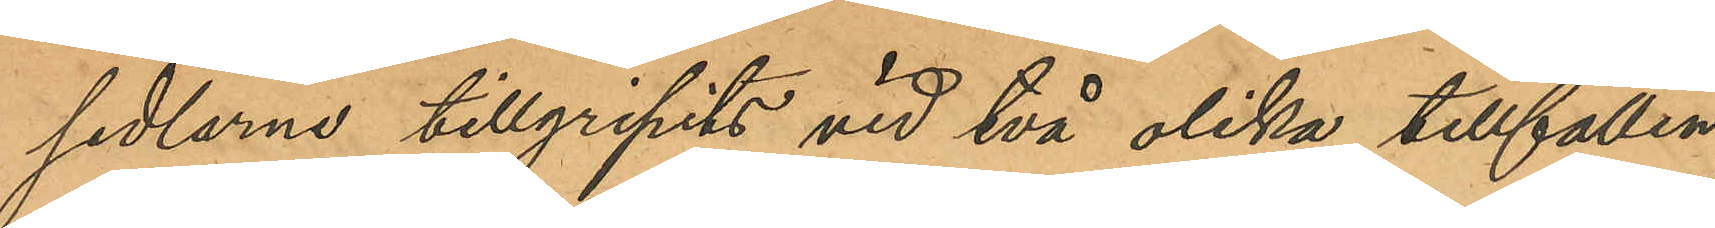sedlarne tillgripits vid två olika tillfällen;
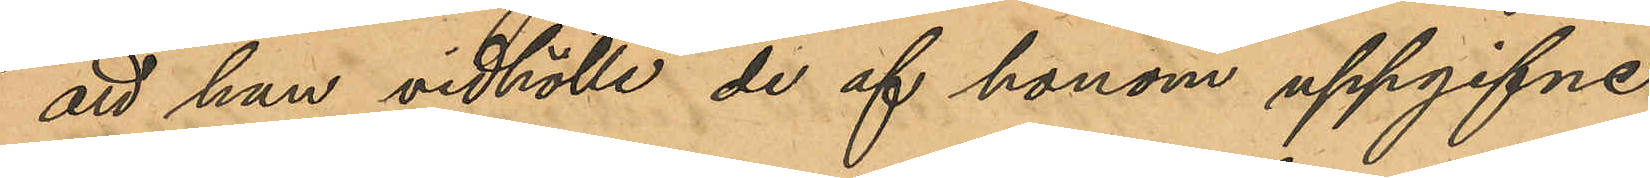att han vidhölle de af honom uppgifne
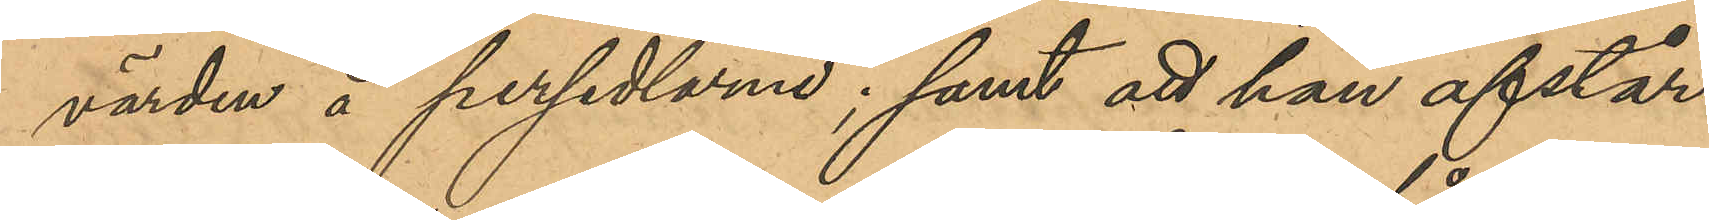värden å persedlarne; samt att han afstår
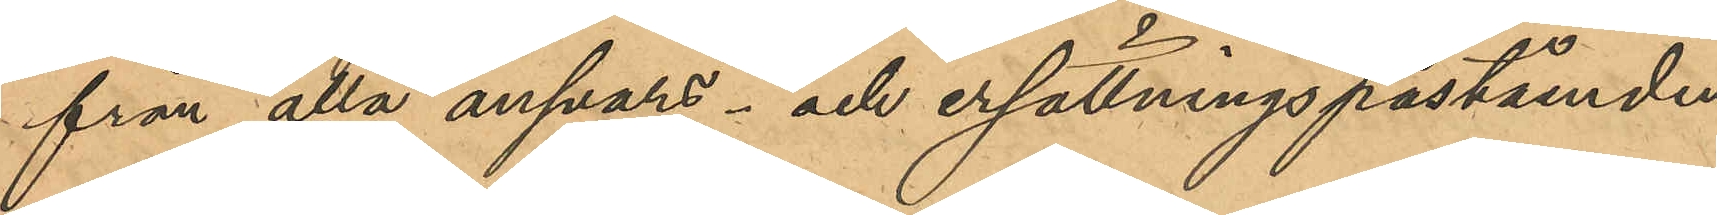från alla ansvars- och ersättningspåståenden
